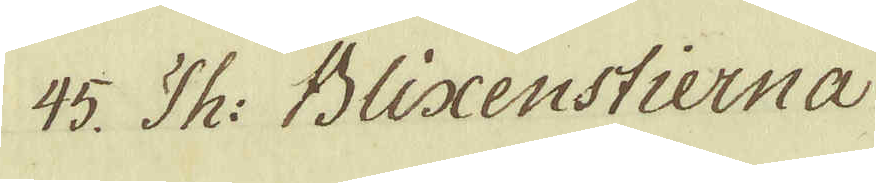45. Th: Blixenstierna
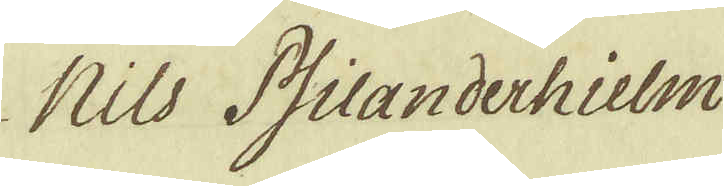Nils Psilanderhielm
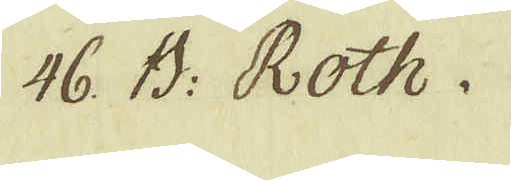46. B: Roth.
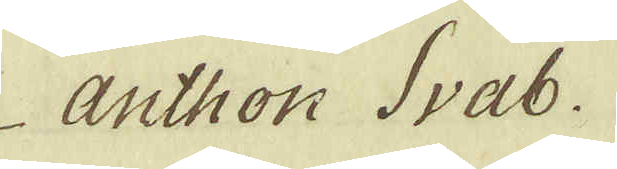Anthon Svab.
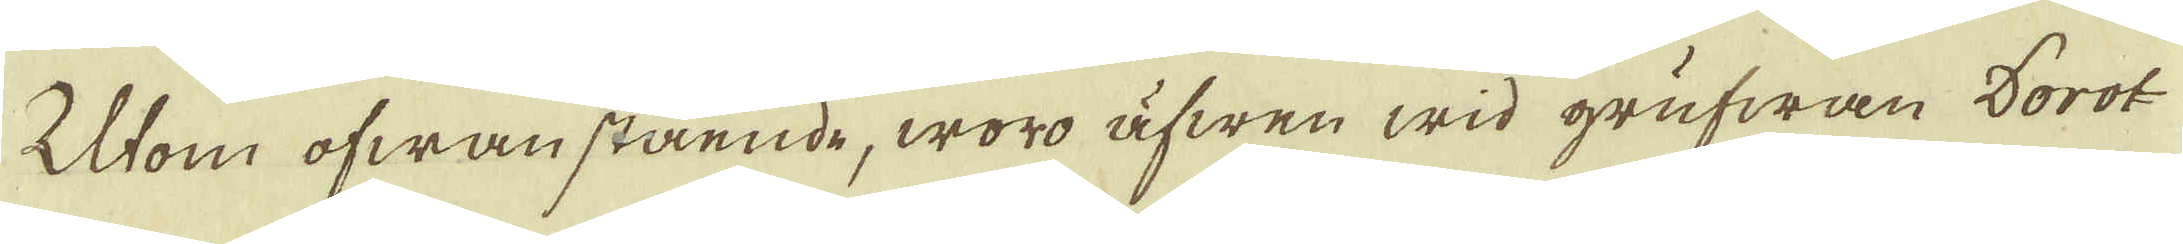Utom ofwanstående, woro äfwen wid grufwan Dorot-
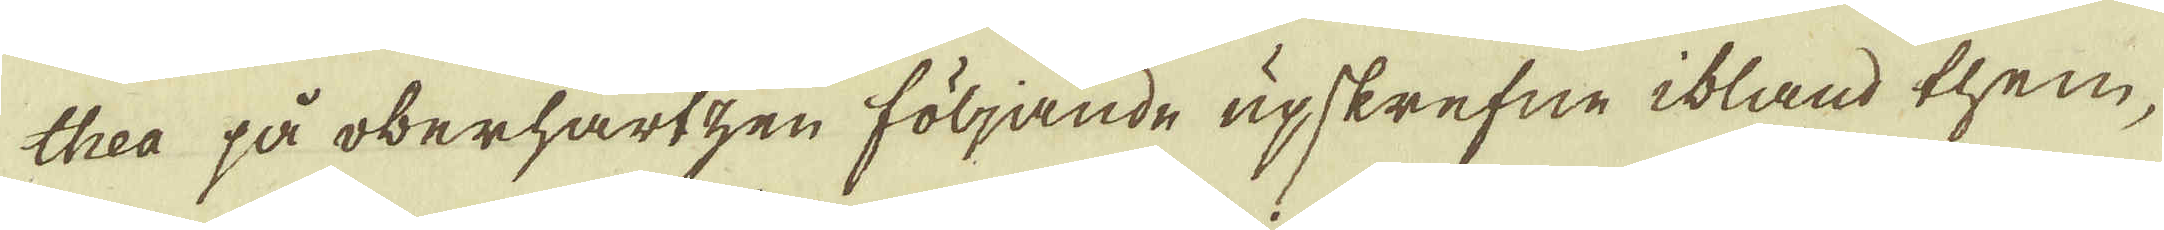thea på oberhartzen följande upskrefne ibland them,
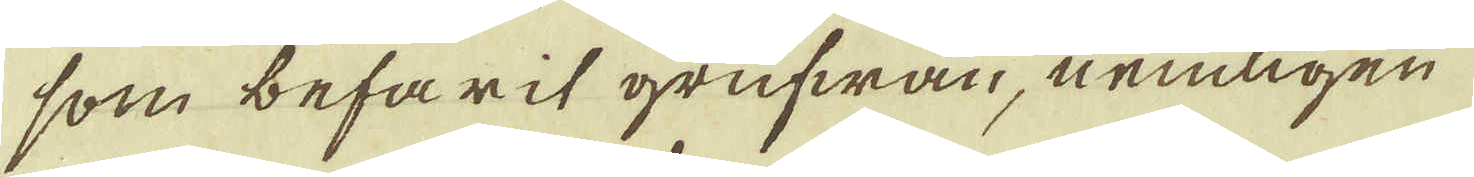som befarit grufwan, nemligen
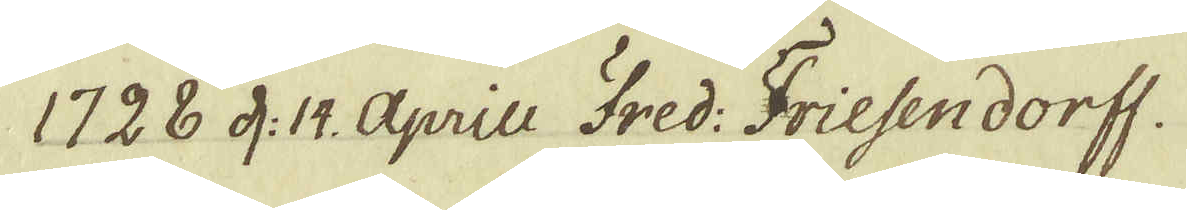1728 d: 14. aprill Fred: Friehendorff.
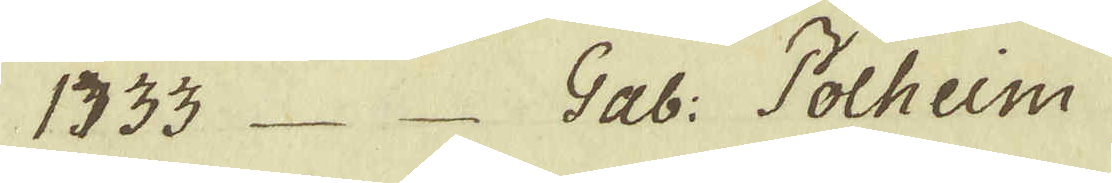1733 _ _ Gab: Polheim
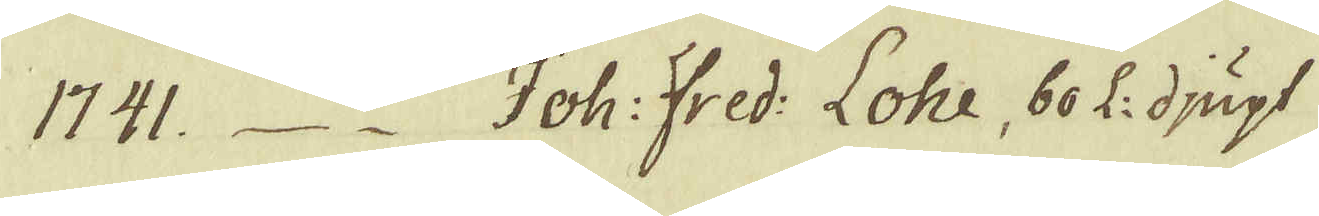1741_ _ Joh: Fred: Lohe, 60 L: djupt
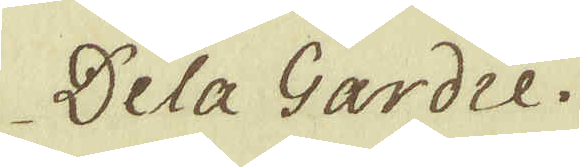Dela Gardie.
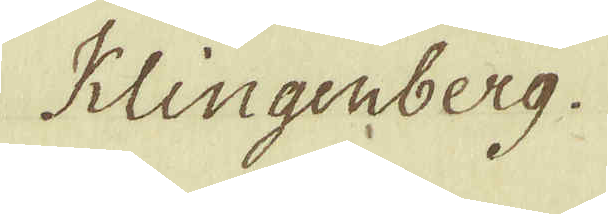Klingenberg.
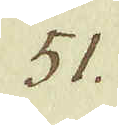51.
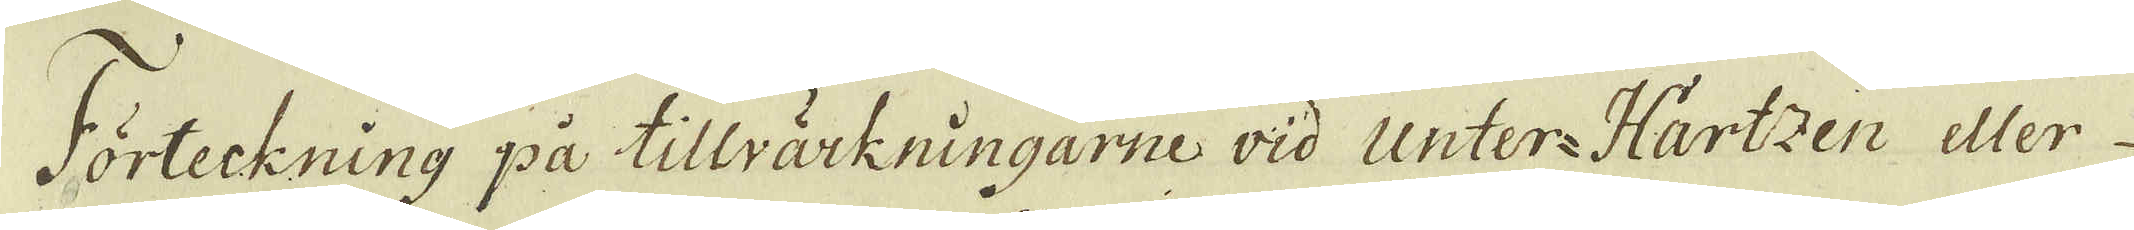Förteckning på tillvärkningarne wid Unter-Hartzen eller
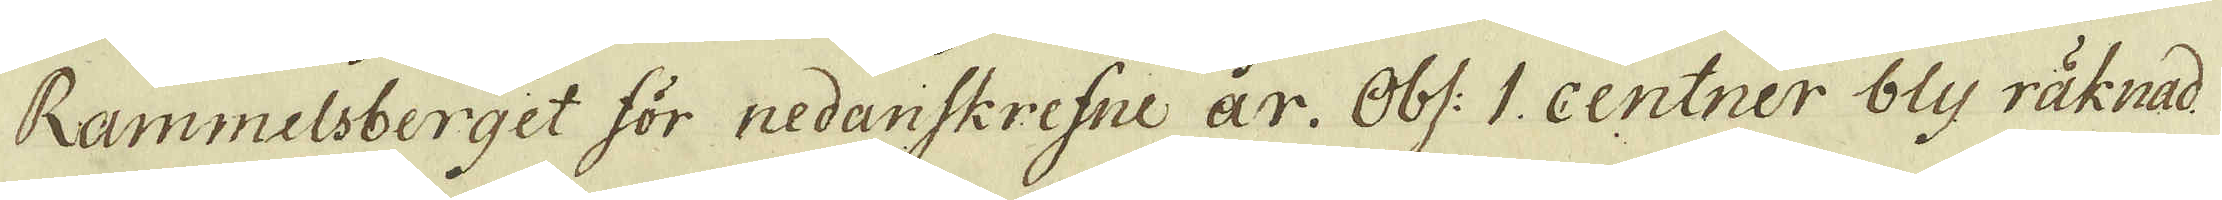Rammelsberget för redanskrefne år. Obs. 1. Centner bly räknad
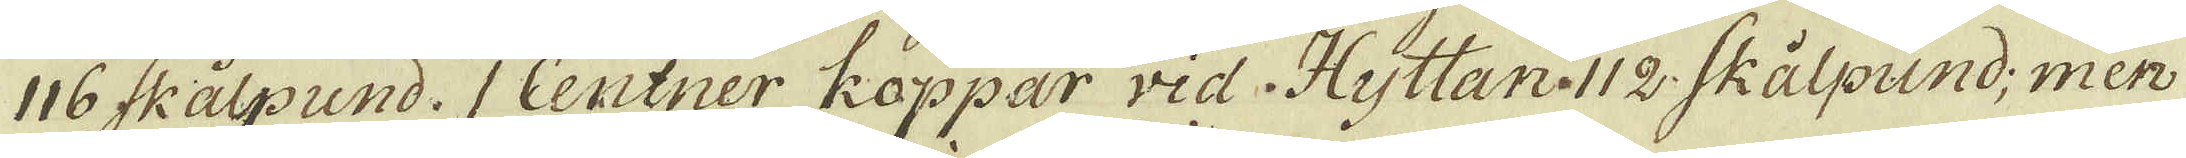116 Skålpund. 1 Centner Koppar vid Hyttan. 112. Skålpund; men
